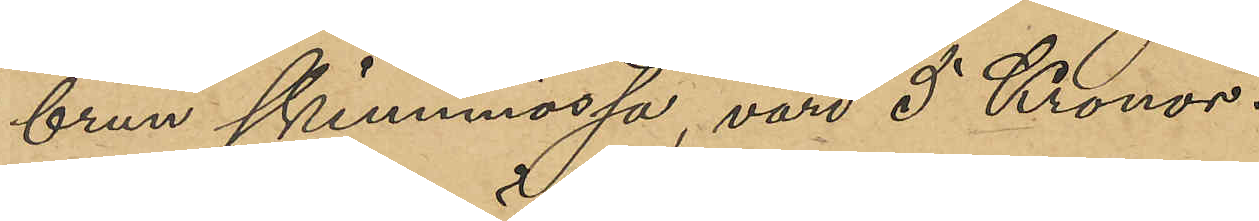brun skinnmössa, värd 5 Kronor.
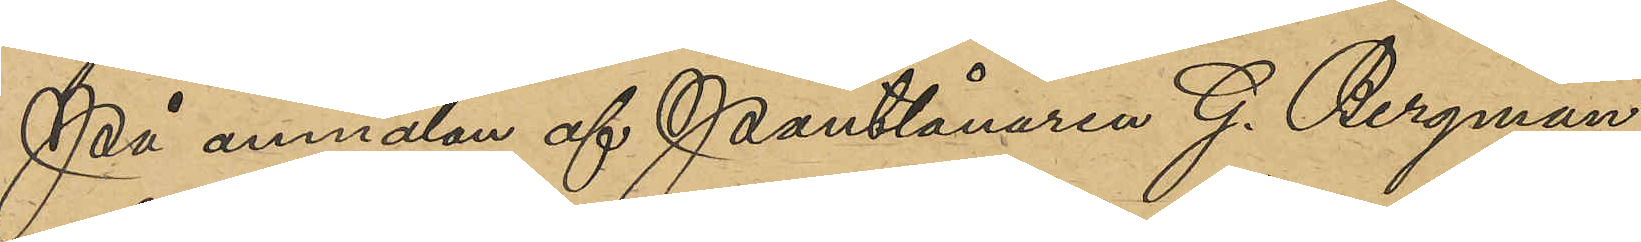På anmälan af Pantlånaren G. Bergman,
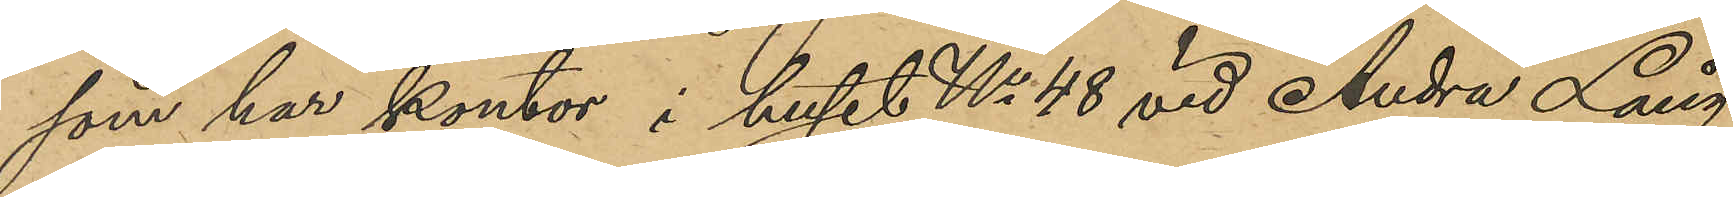som har kontor i huset No 48 vid Andra Lång¬
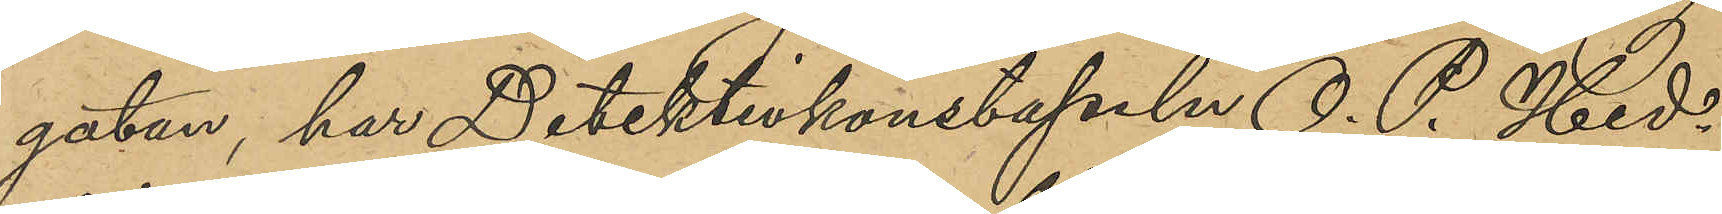gatan, har Detektivkonstapeln O. P. Hed¬
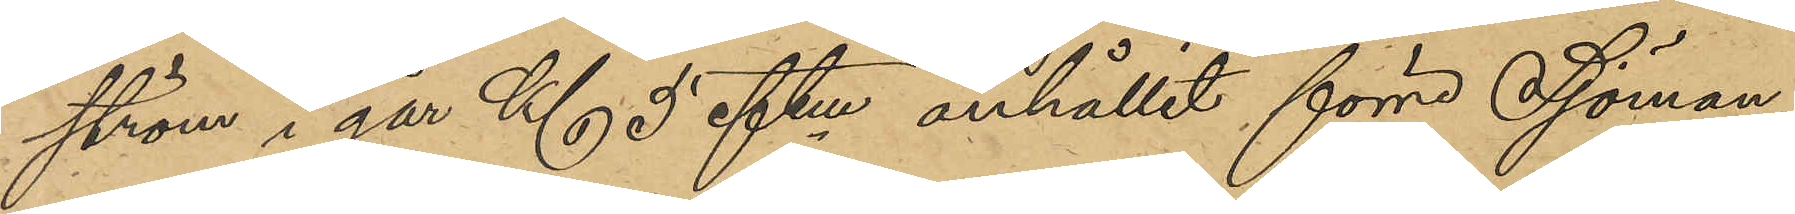ström i går Kl 5 eftm anhållit förre Sjöman¬
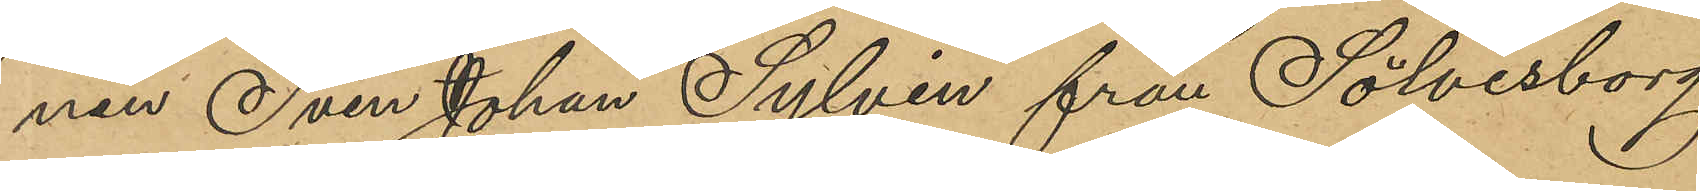nen Sven Johan Sylvin från Sölvesborg
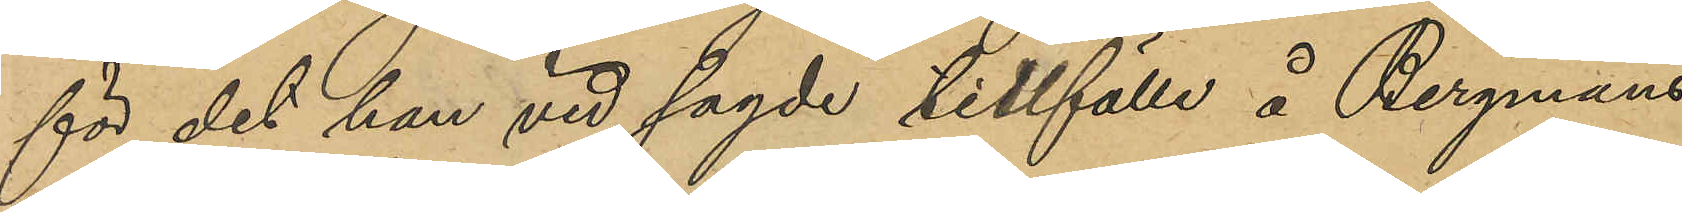för det han vid sagde tillfälle å Bergmans
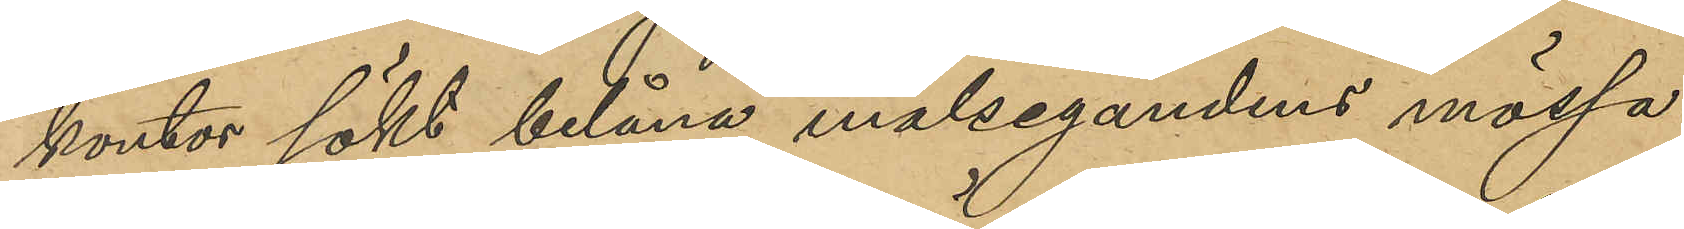kontor sökt belåna målsegandens mössa.
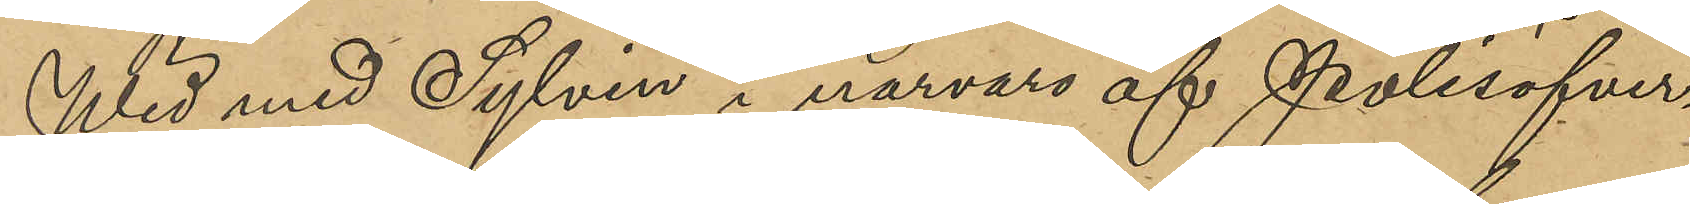Wid med Sylvén i närvaro af Polisöfver¬
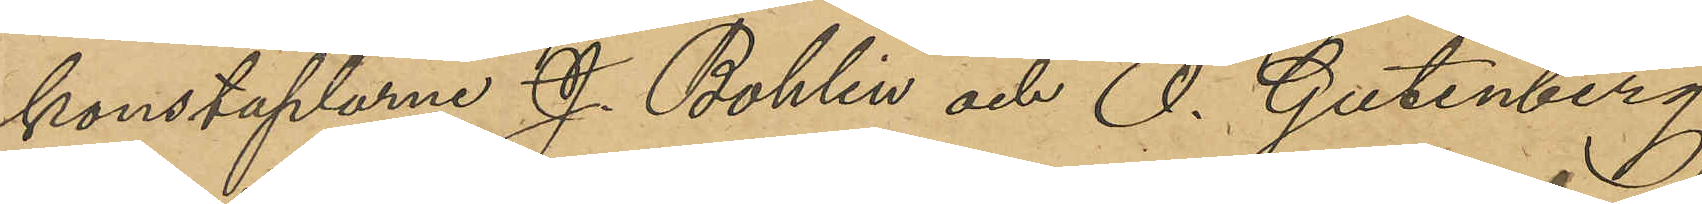konstaplarna J. Bohlin och O. Gutenberg
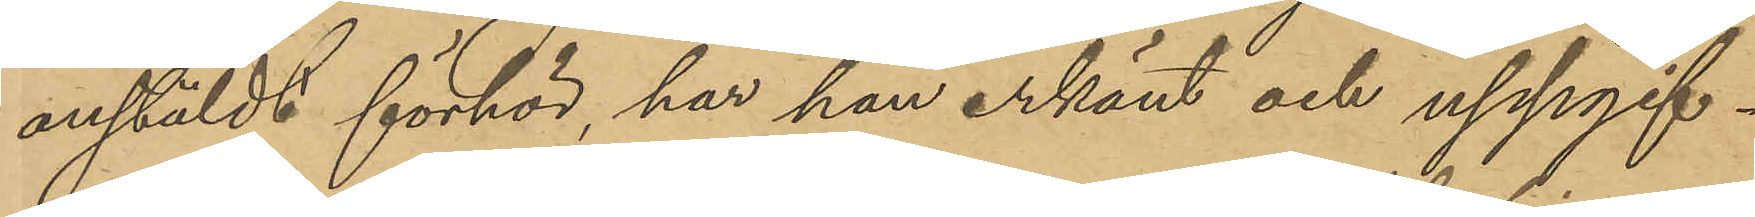anstälda förhör, har han erkänt och uppgif¬
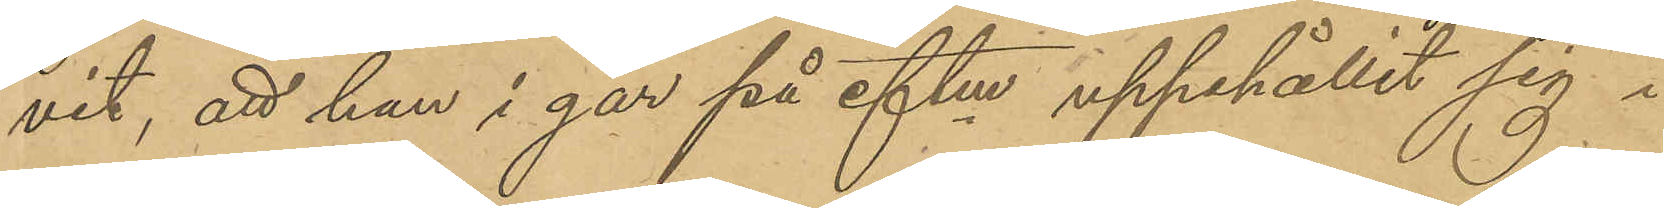vit; att han i går på eftm uppehållit sig i
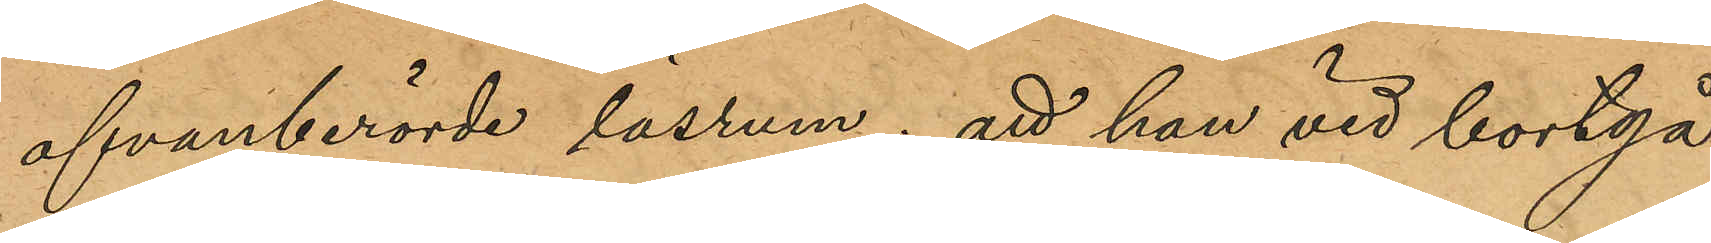ofvanberörde läsrum; att han vid bortgå¬
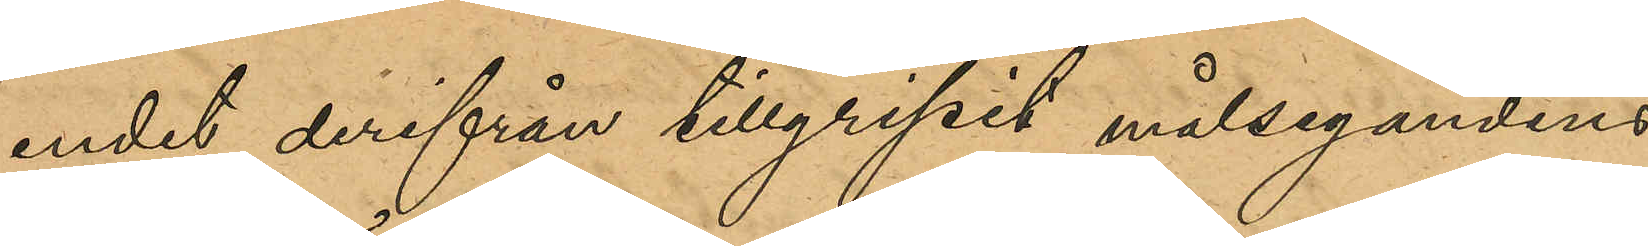endet derifrån tillgripit målsegandens
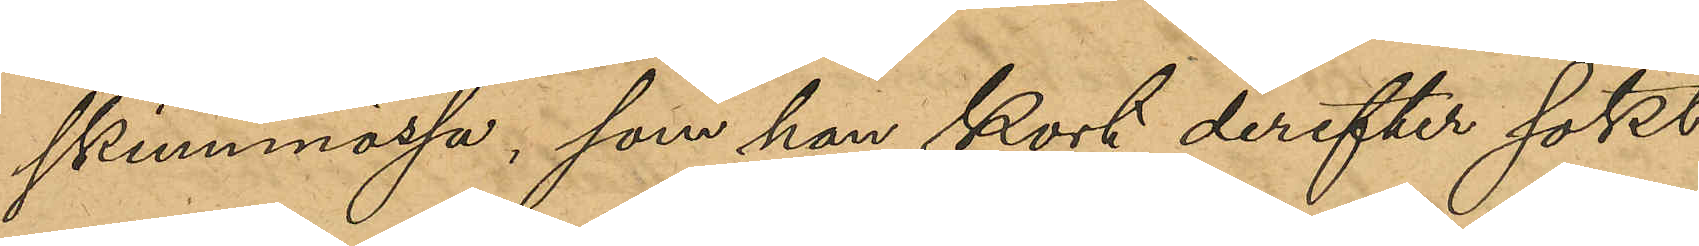skinnmössa, som han kort derefter sökt
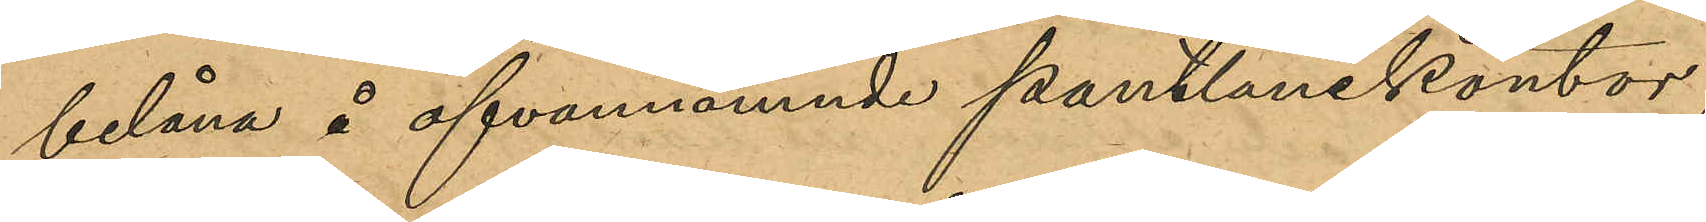belåna å ofvannämnde pantlånekontor,
